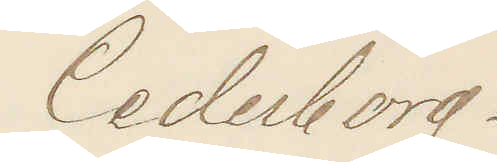Cederborg.
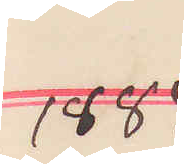1884
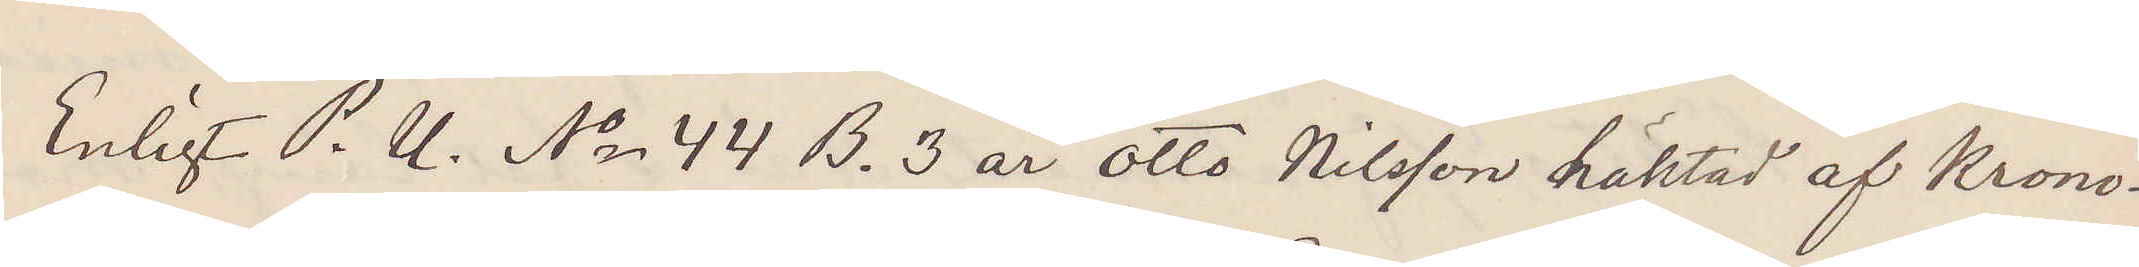Enligt P. U. No 44 B. 3 är Otto Nilsson häktad af Krono¬
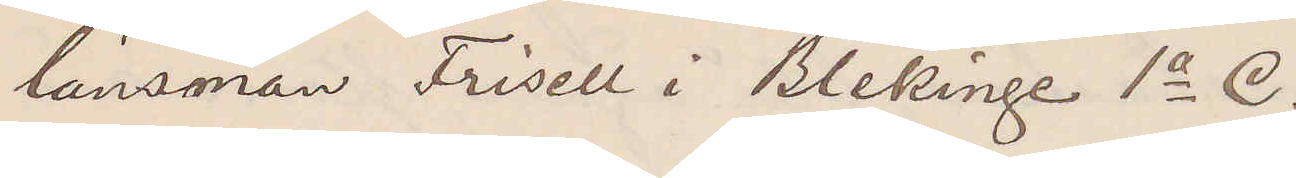länsman Frisell i Blekinge 1a C.
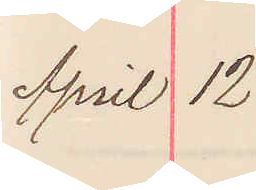April 12
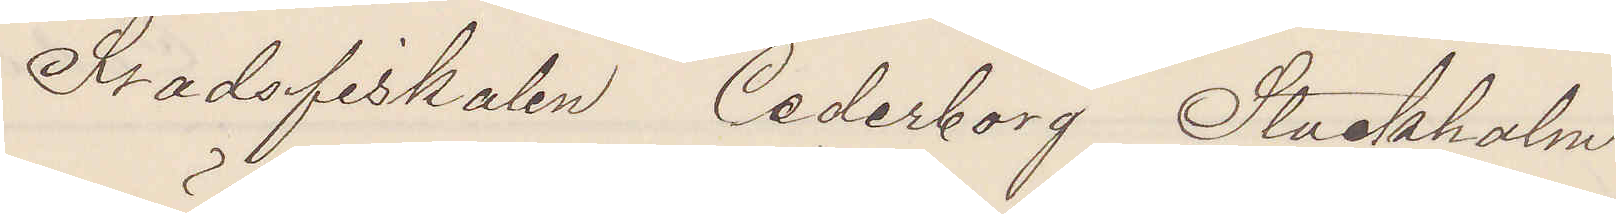Stadsfiskalen Cederborg Stockholm.
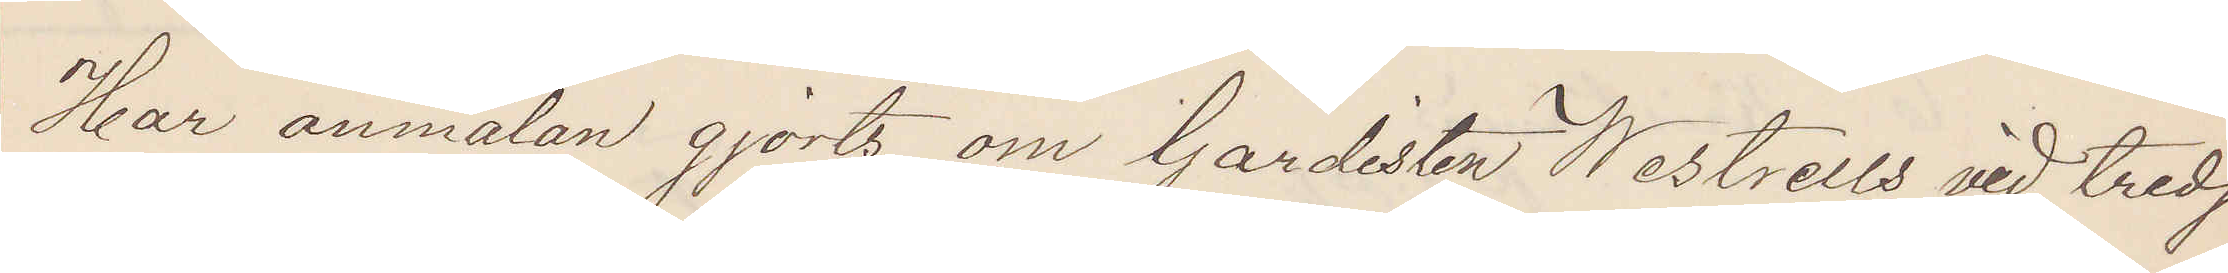Har anmälan gjorts om Gardisten Westrells vid tredje
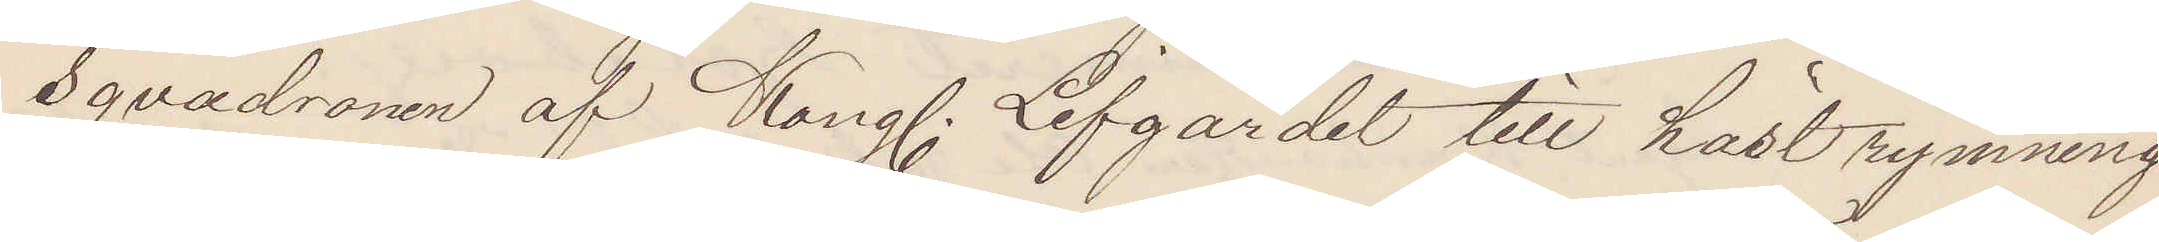Sqvadronen af Kong. Lifgardet till häst rymning
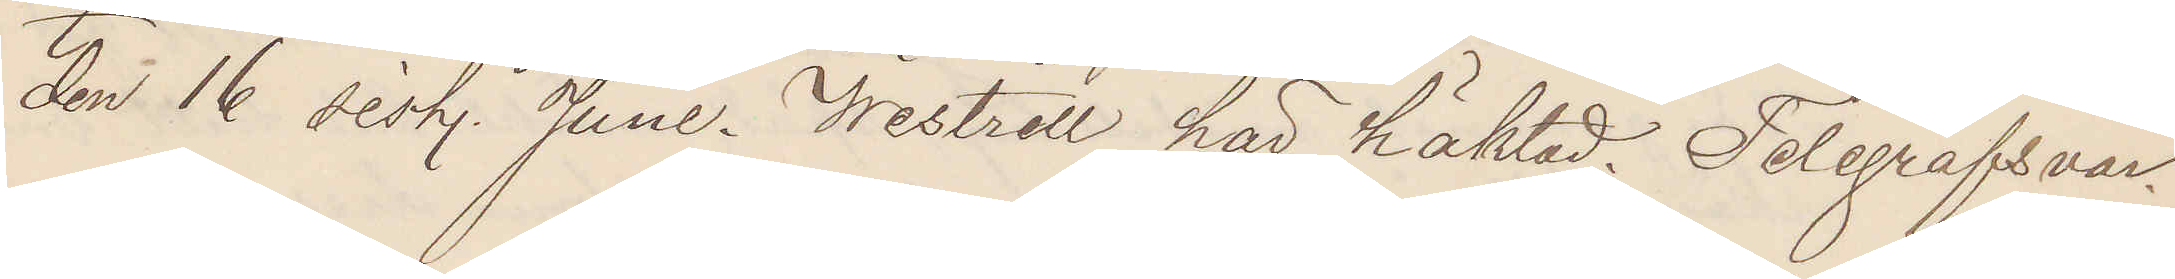den 16 sist. Juni. Westrell här häktad Telegrafsvar.
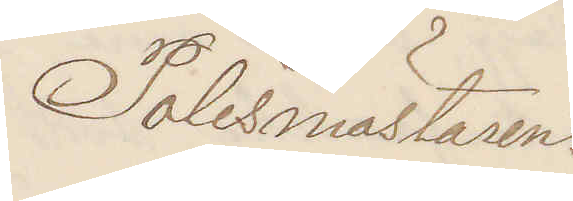Polismästaren.
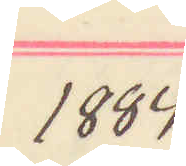1884
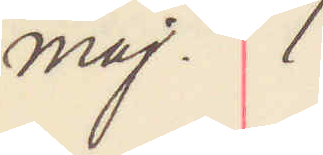Maj. 1
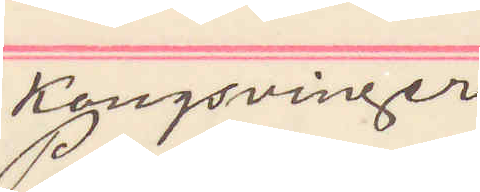Kongsvinger
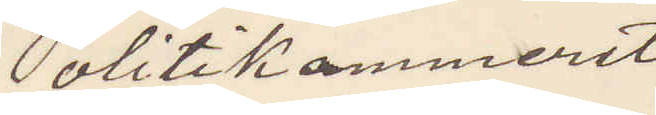Politikammeret
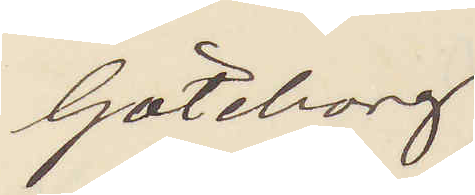Göteborg
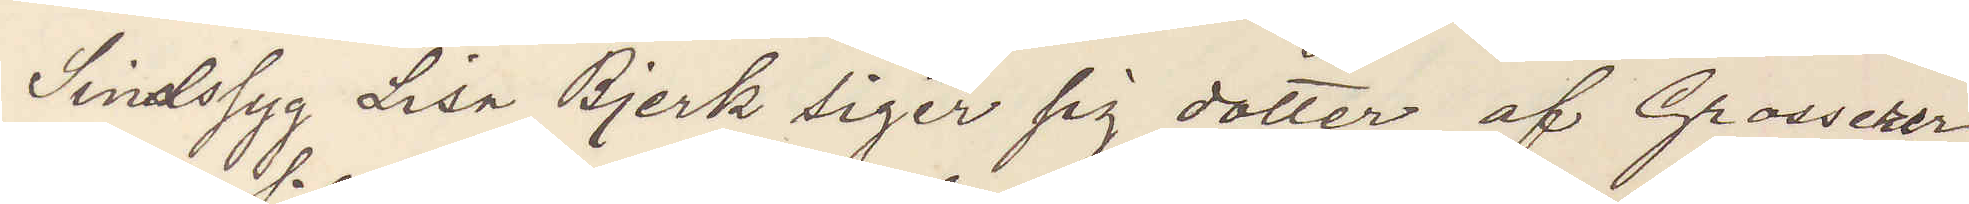Sindssyg Lisa Bjerk siger sig dotter af Grosserer
